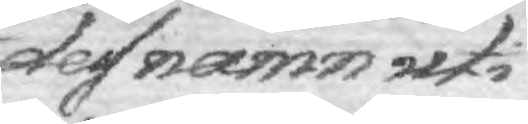des namn uti
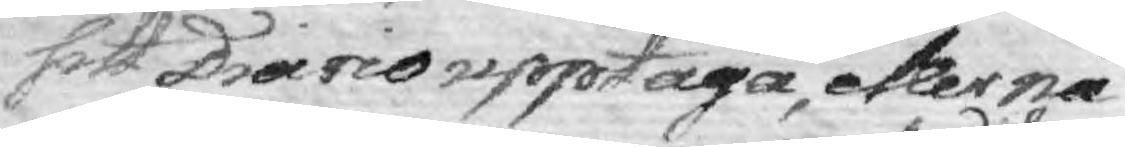sitt Diario upptaga, eller nå¬
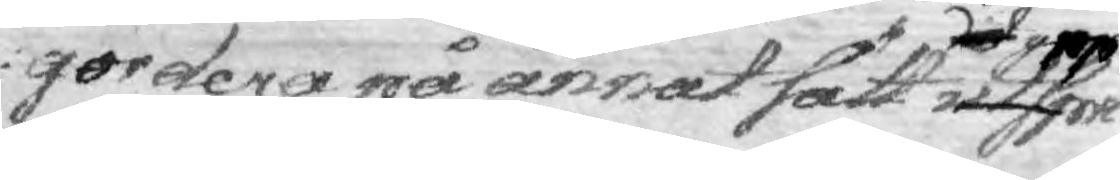gordera på annat sätt det uppra utspri¬
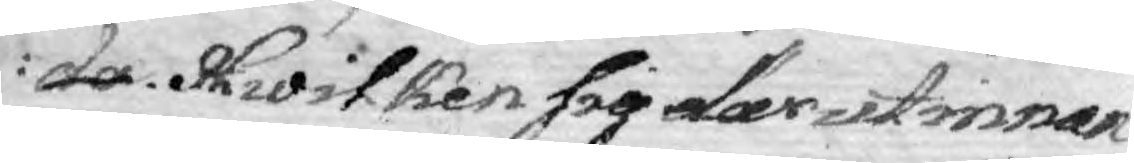da. Hwliken sig därutinnan
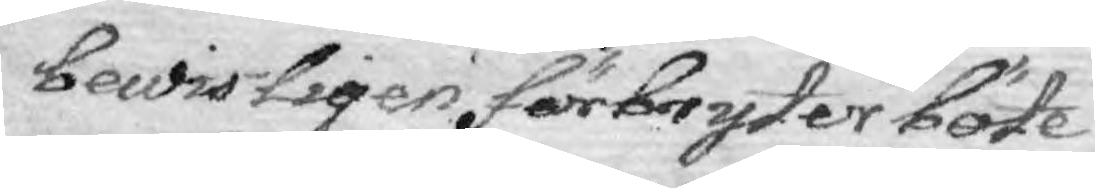bewisligen förbryter böte
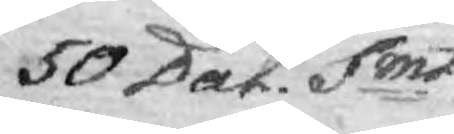50 Dal. Smt.
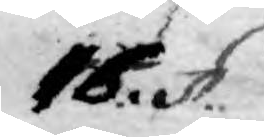16. §.
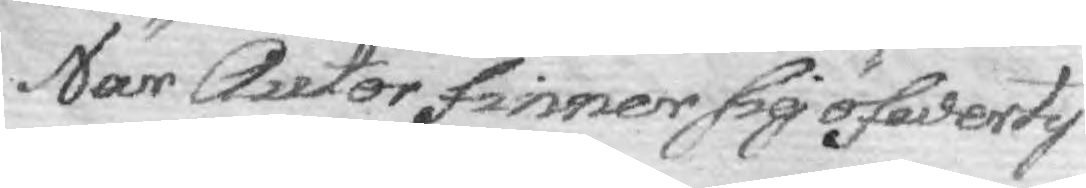När Autor finner sig öfwerty¬
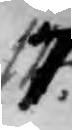17.
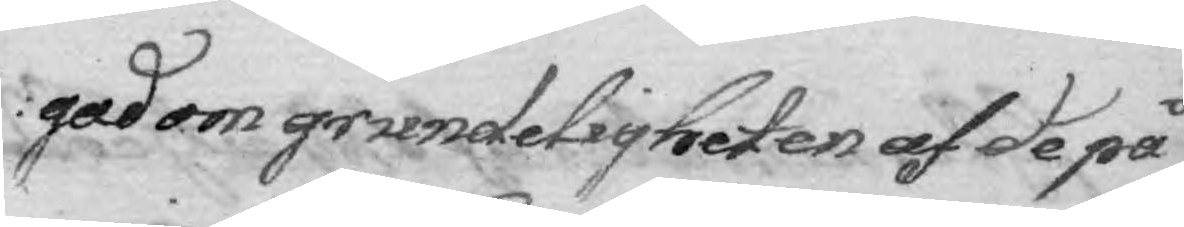gad om gruendeligheten af de på¬
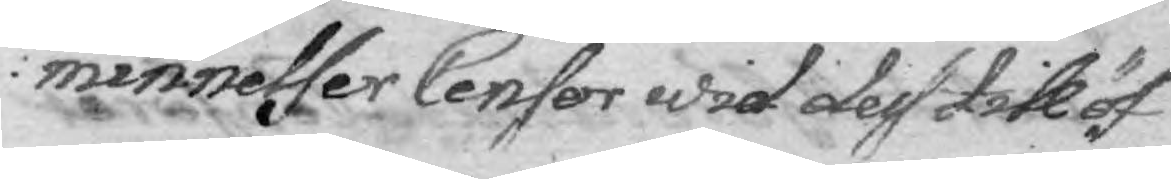minnelser Censor wid de till öf¬
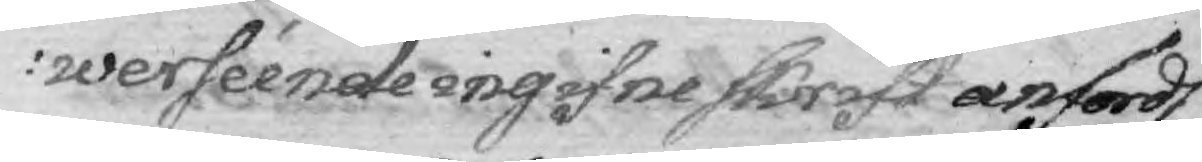werséende ingifne skrift anfordt
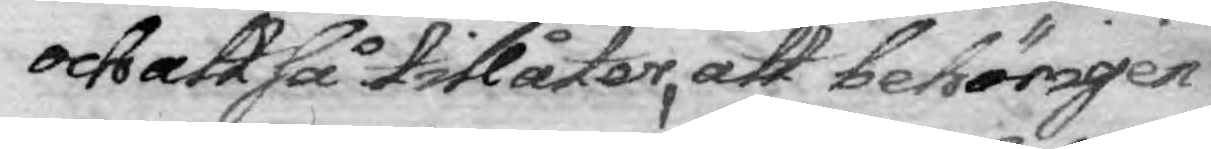och att så tillåter, att behörigen
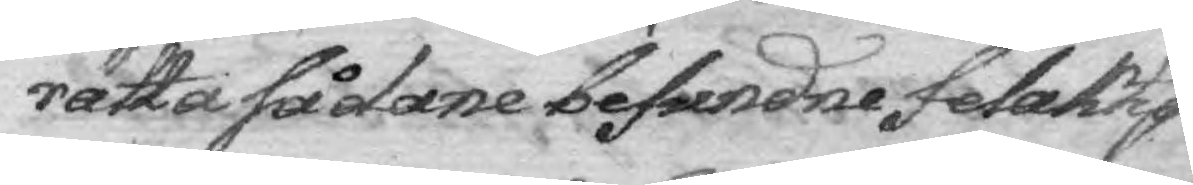rätta sådane befundne felaktig¬
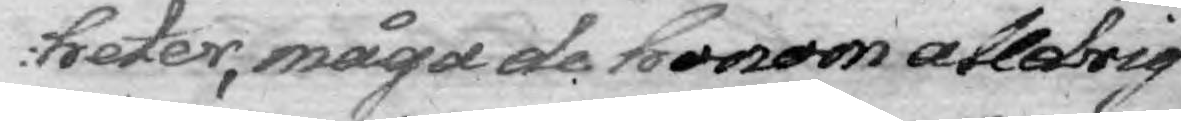heter, måga de honom alldrig
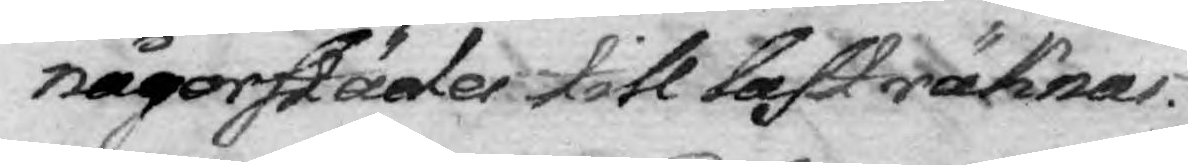någorstädes till last räknas.
